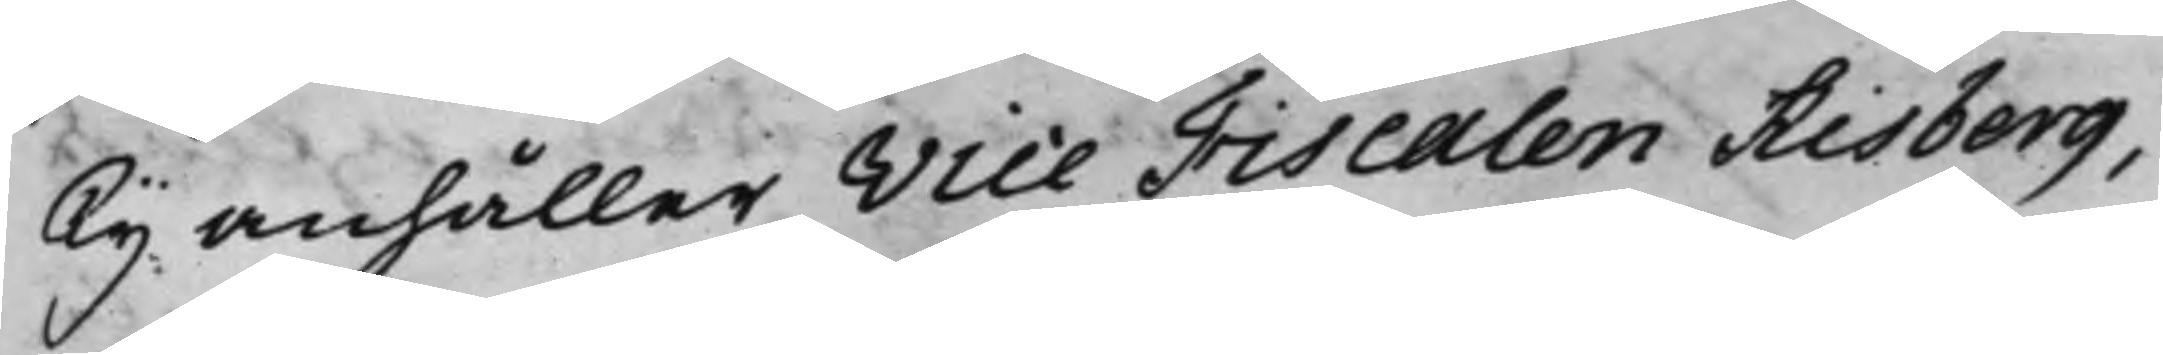Ty anhåller Vice Fiscalen Risberg,
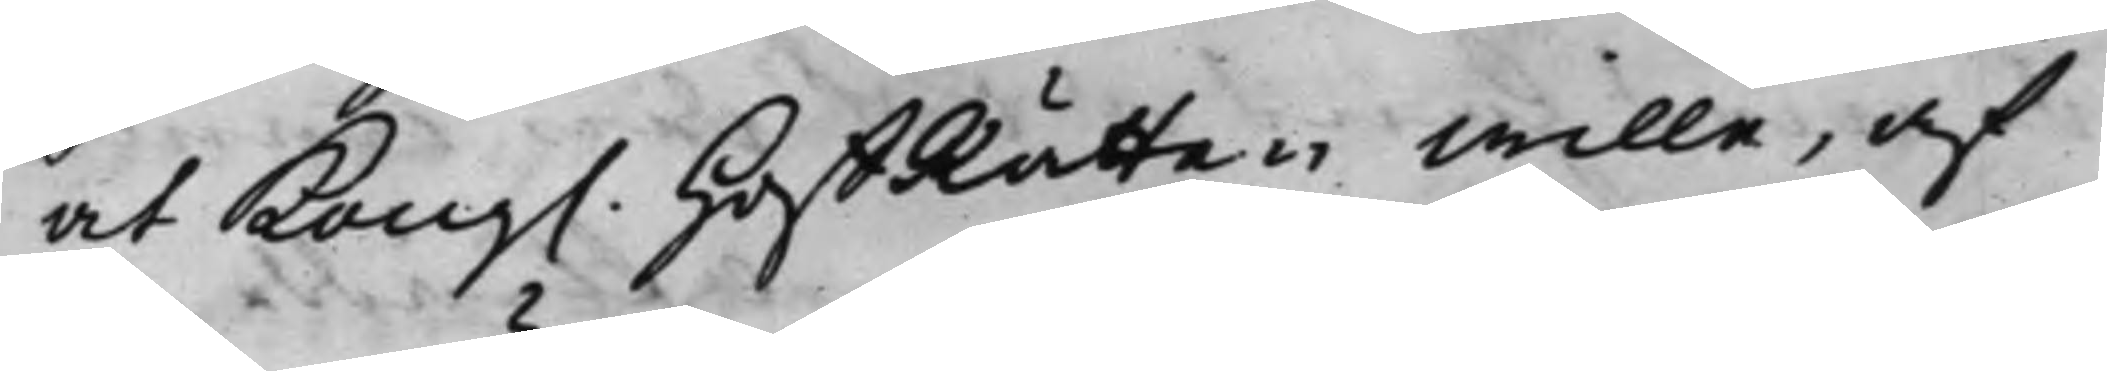at Kong. HoffRätten wille, af
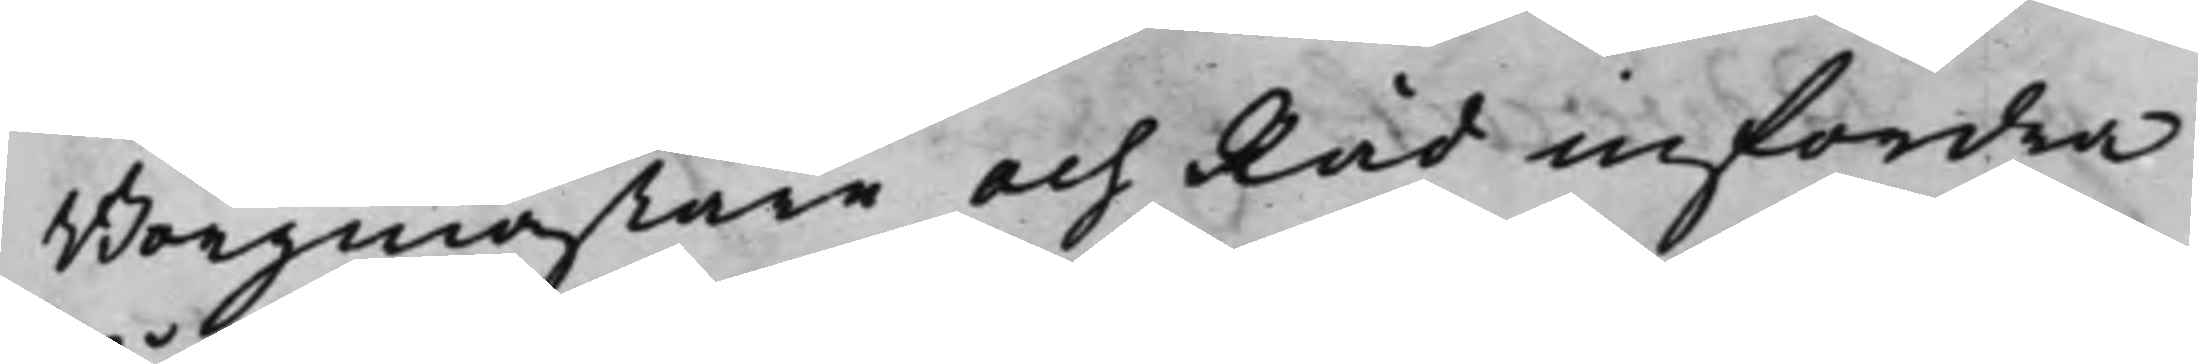Borgmästare och Råd infordra
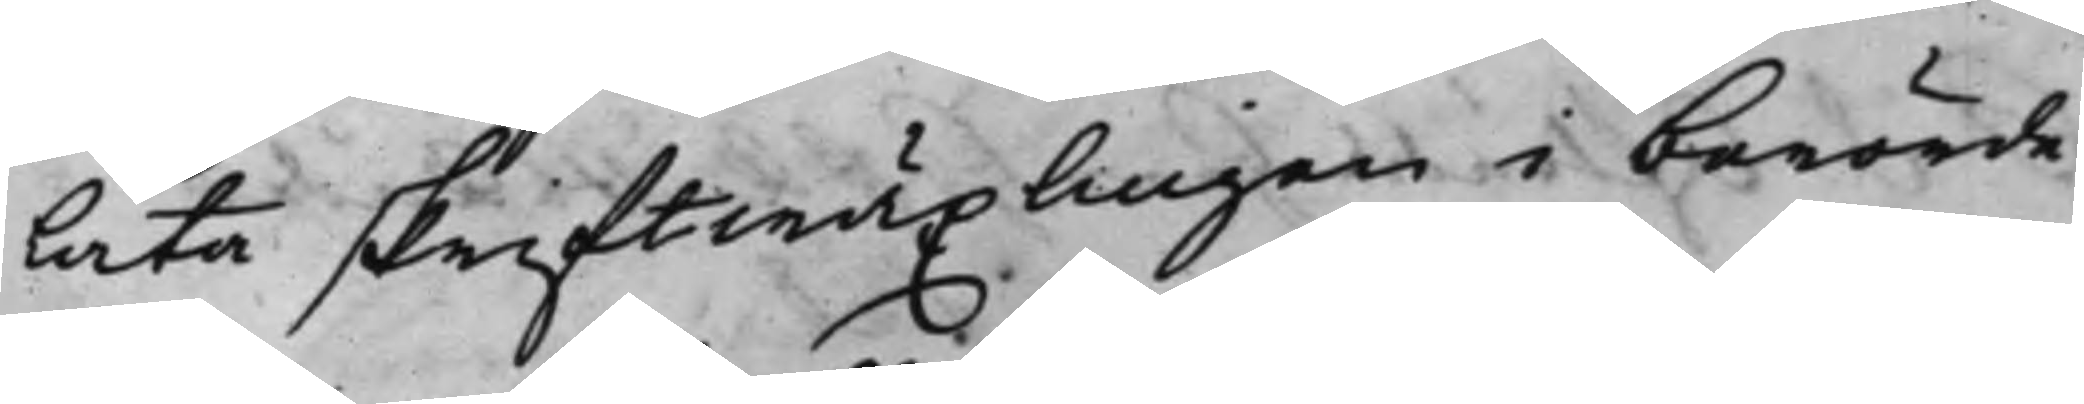låta skriftwäxlingen i berörde
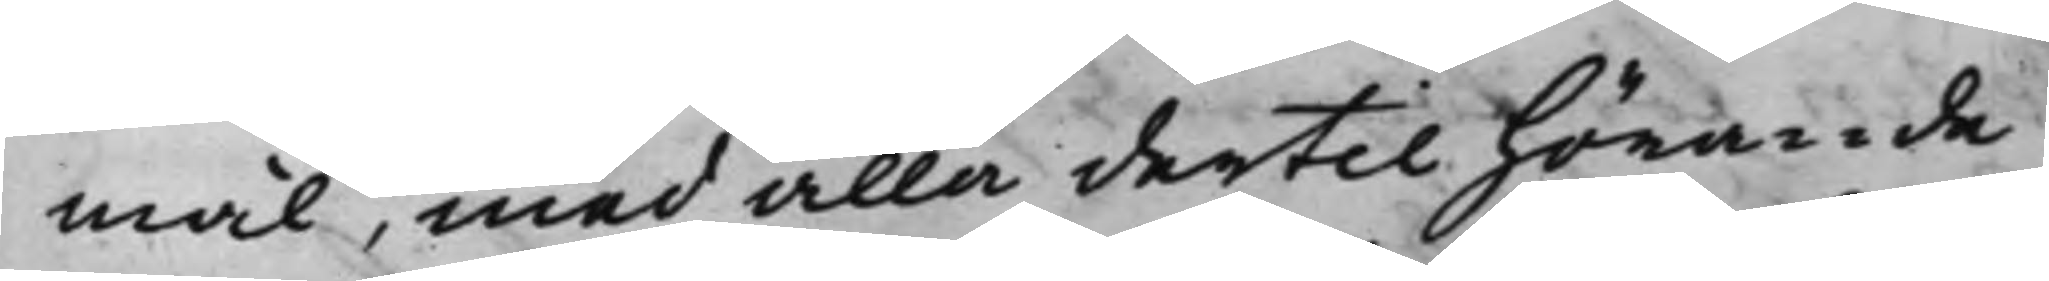mål, med alla dertill hörande
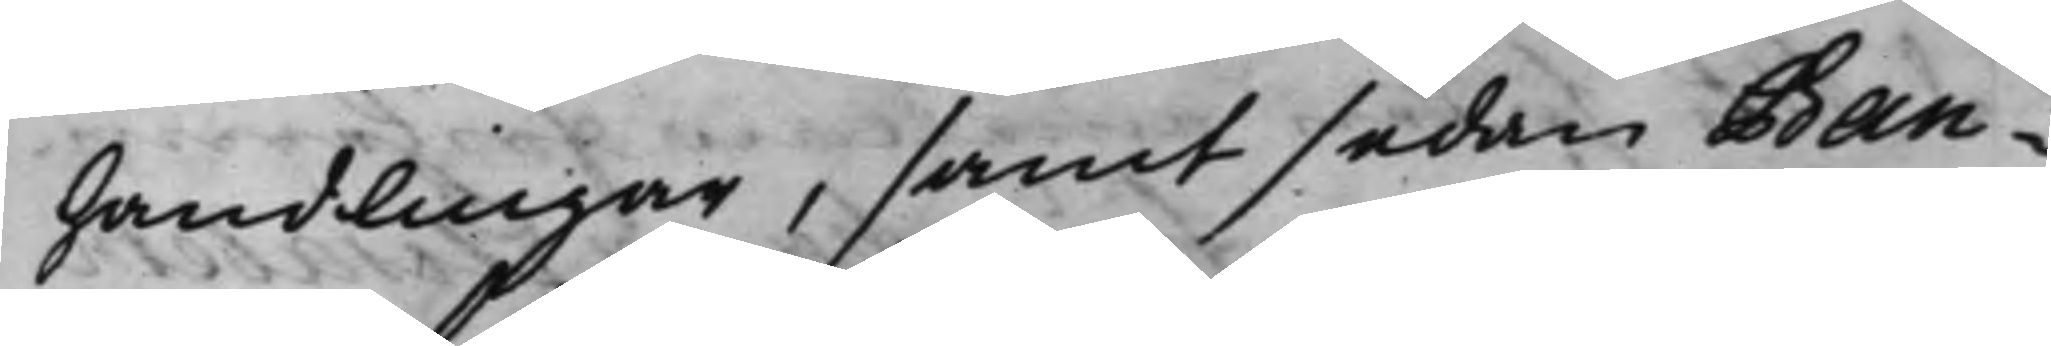handlingar, samt sedan Ban¬
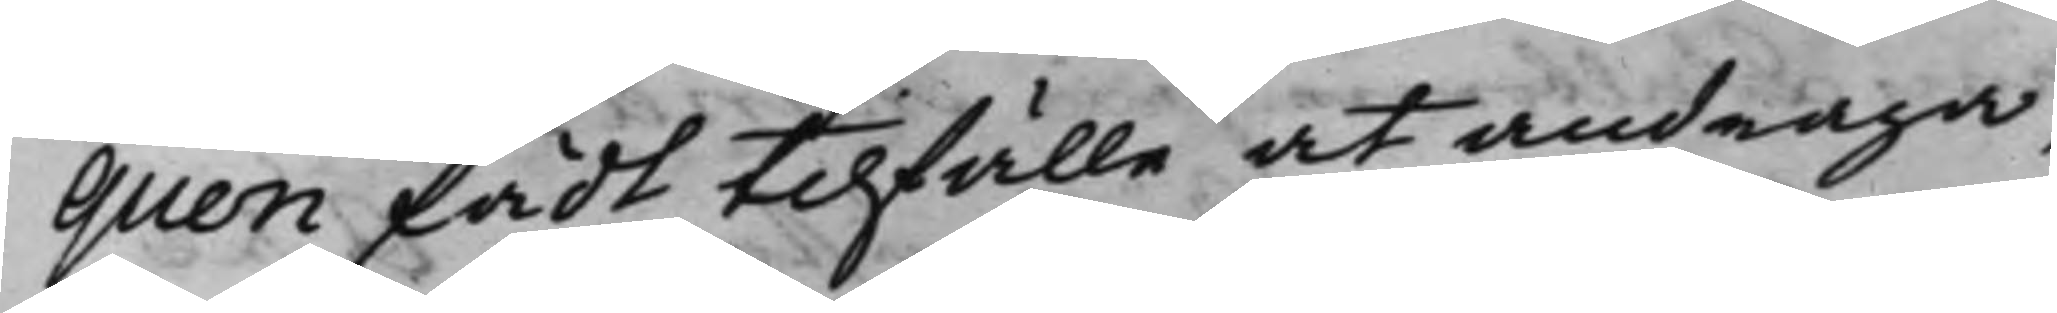quen fådt tilfälle at andraga,
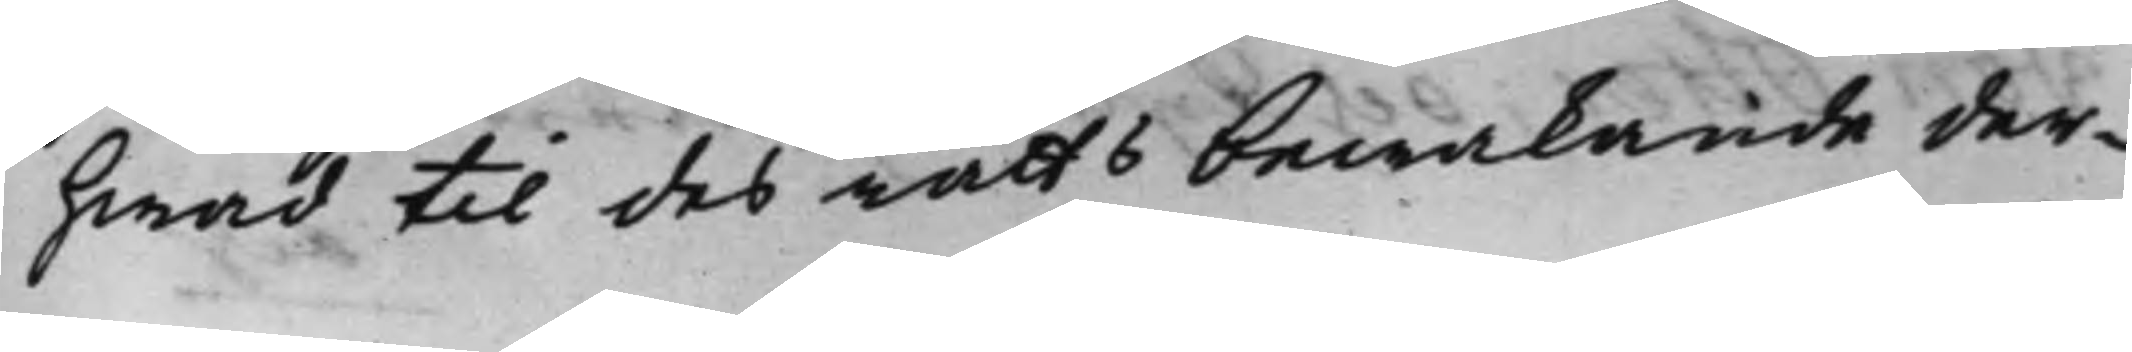hwad till des rätts bewakande der¬
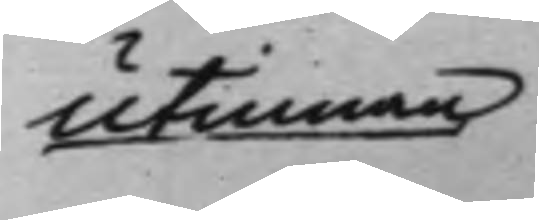utinnan
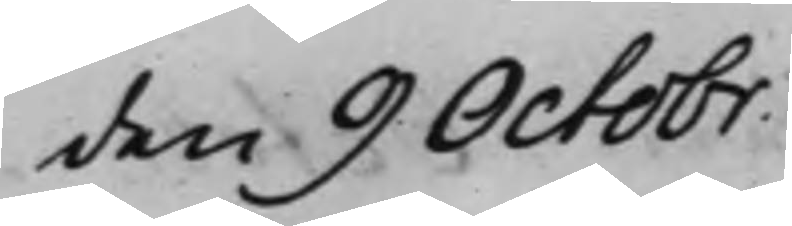den 9 Octobr.
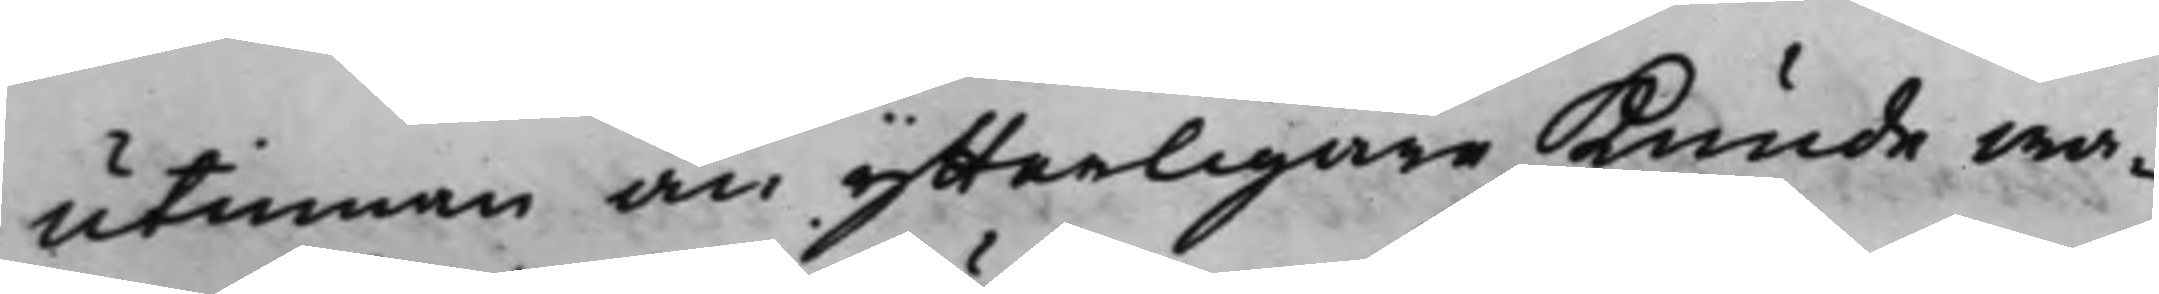utinnan än ytterligare kunde wa¬
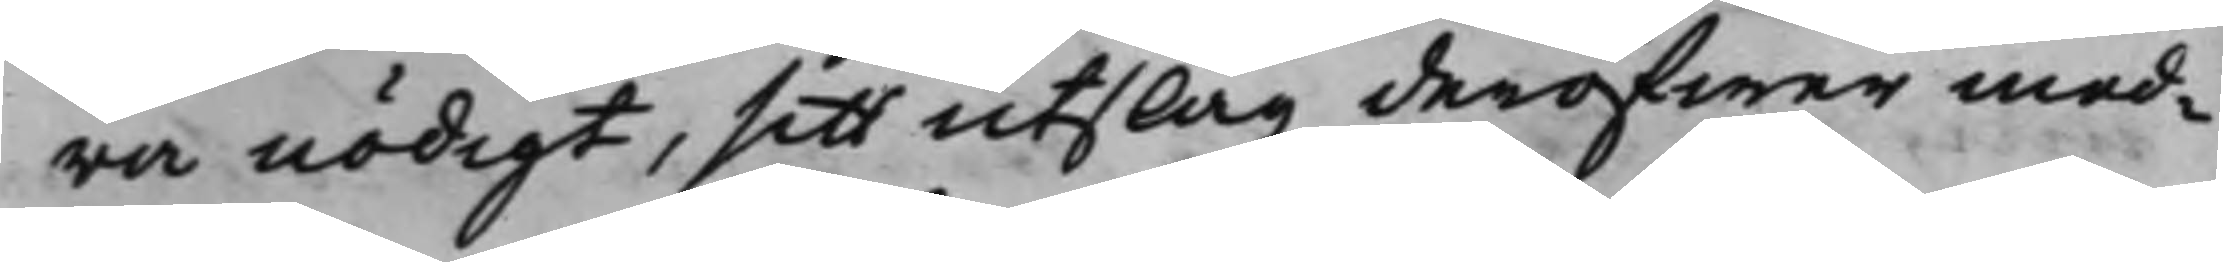ra nödigt, sitt utslag deröfwer med¬
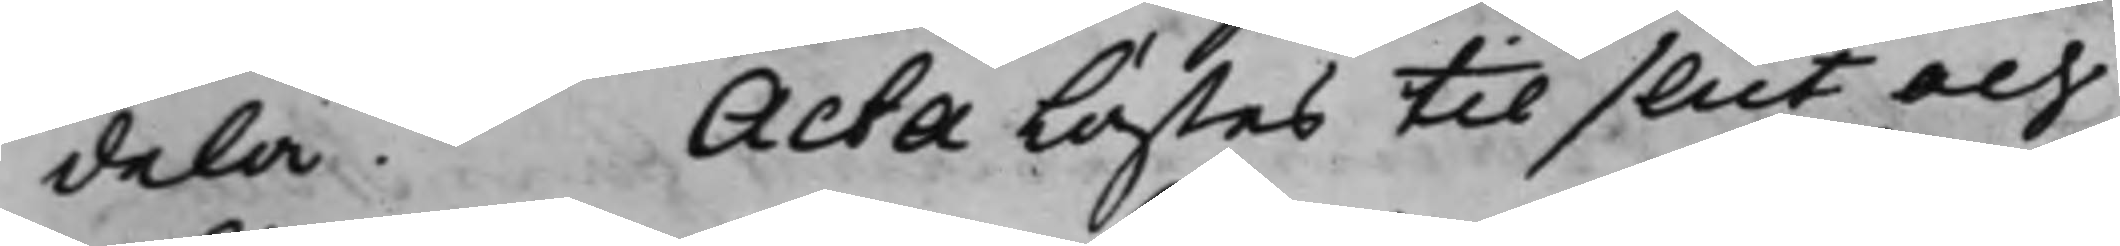dela. Acta lästes til slut och
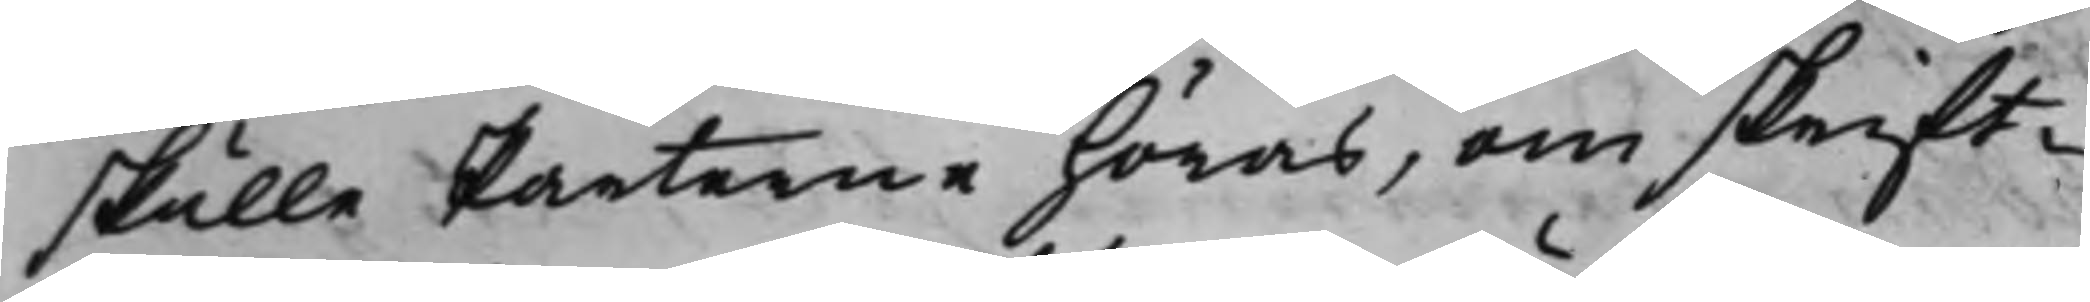skulle Parterne höras, om skrift¬
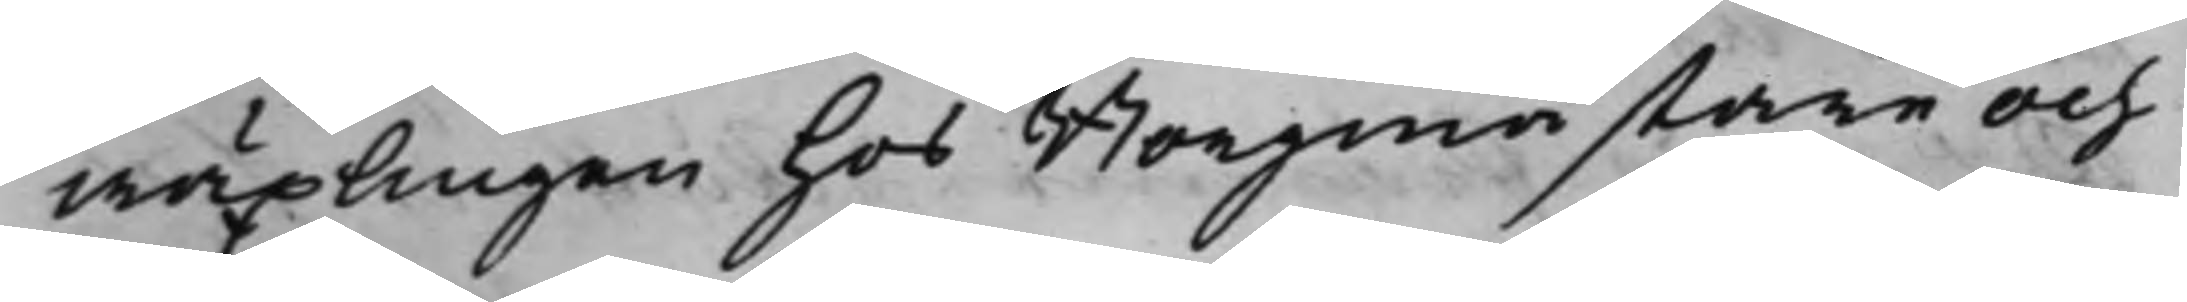wäxlingen hos Btorgmästare och
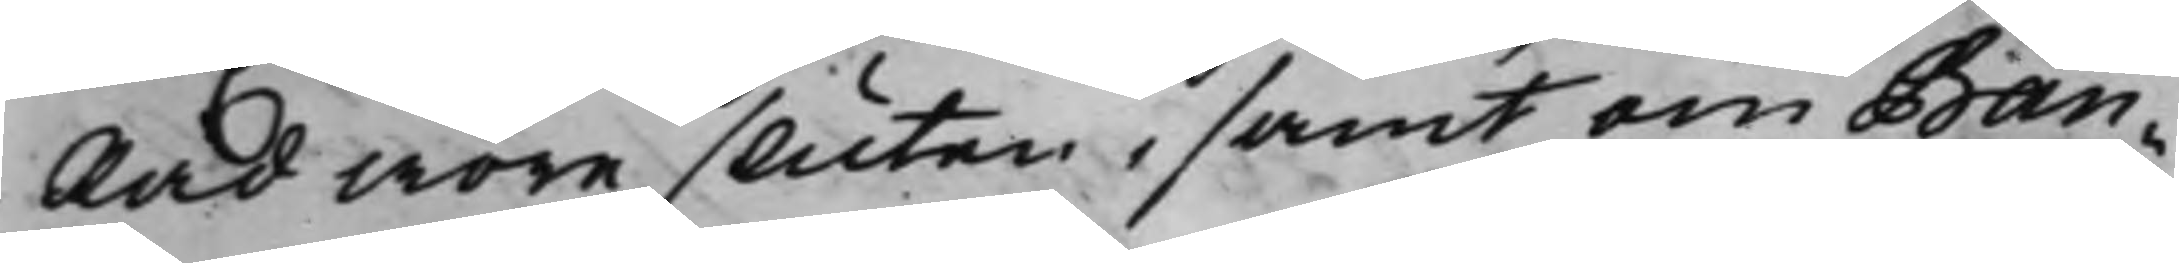Råd wore sluten, samt om Ban¬
